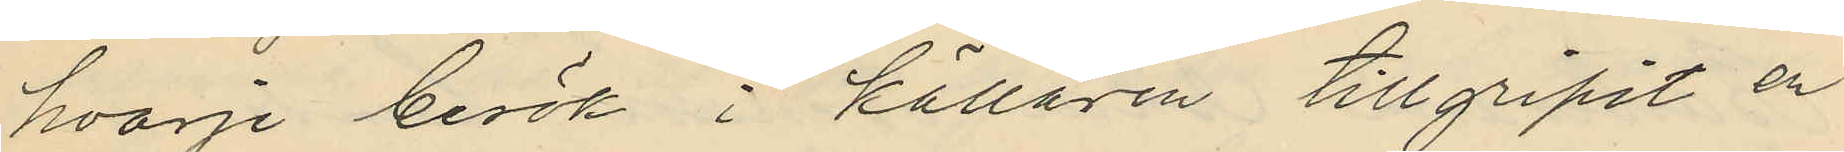hvarje besök i källaren tillgripit en
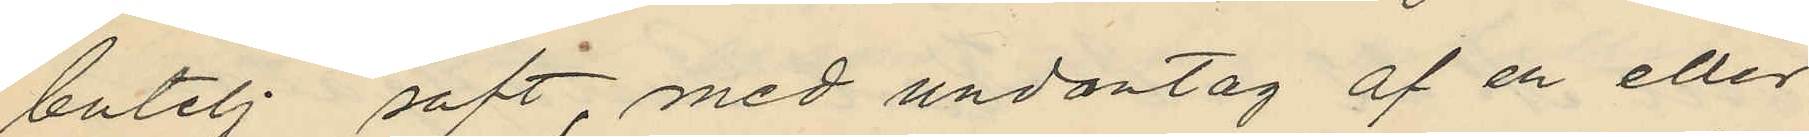butelj saft, med undantag af en eller
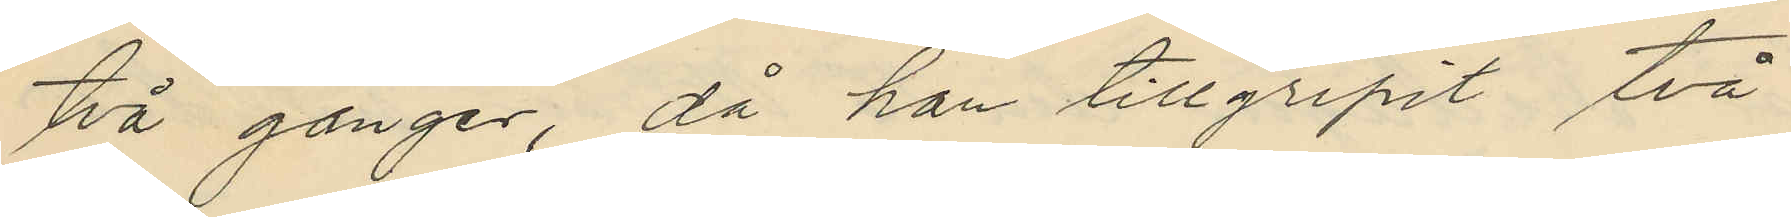två gånger, då han tillgripit två
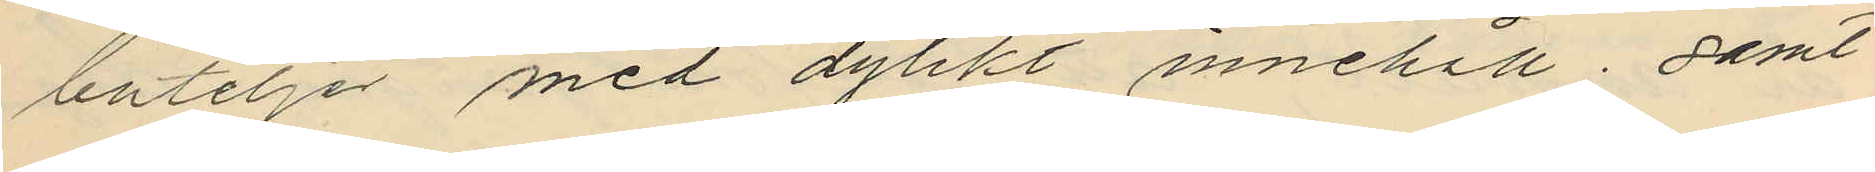buteljer med dylikt innehåll; samt
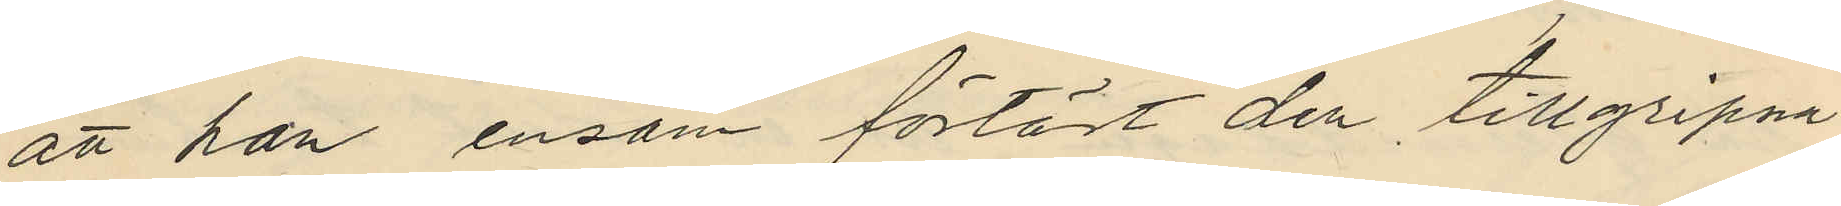att han ensam förtärt den tillgripna
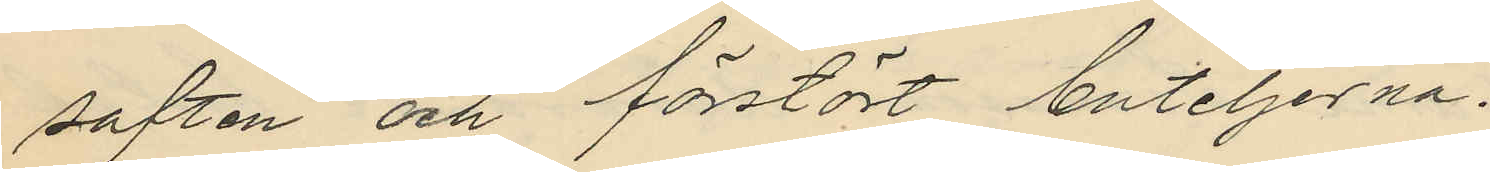saften och förstört buteljerna.
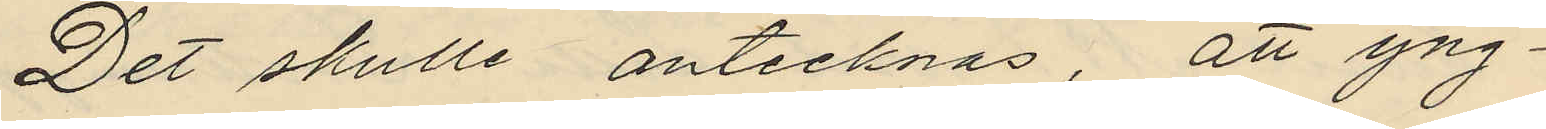Det skulle antecknas, att yng¬
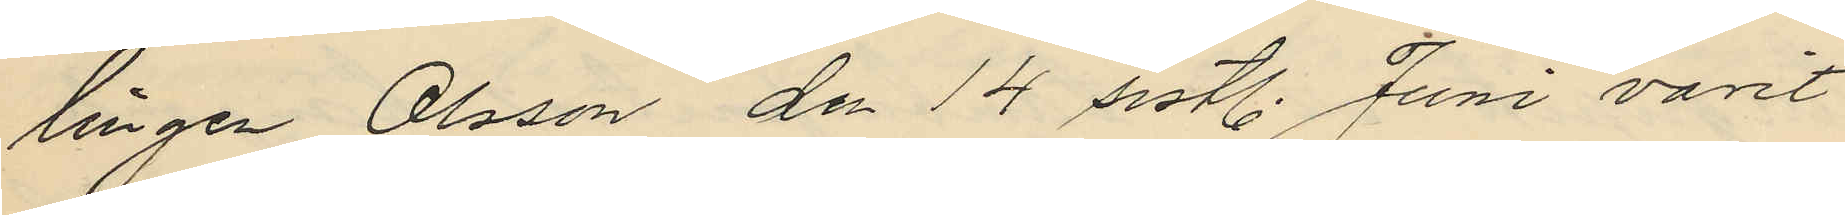lingen Olsson den 14 sistl. Juni varit
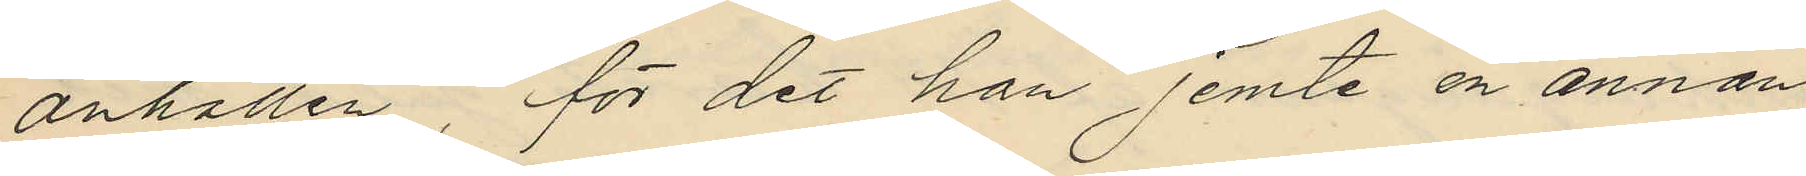anhållen för det han jemte en annan
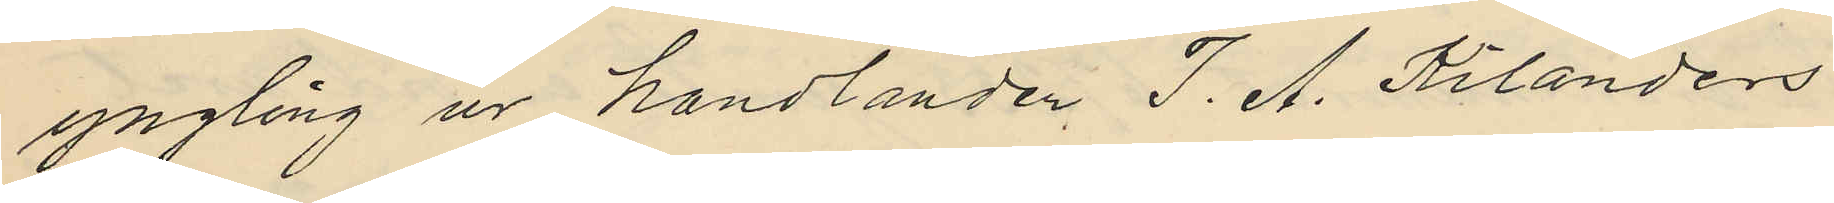yngling ur handlanden J. A. Kilanders
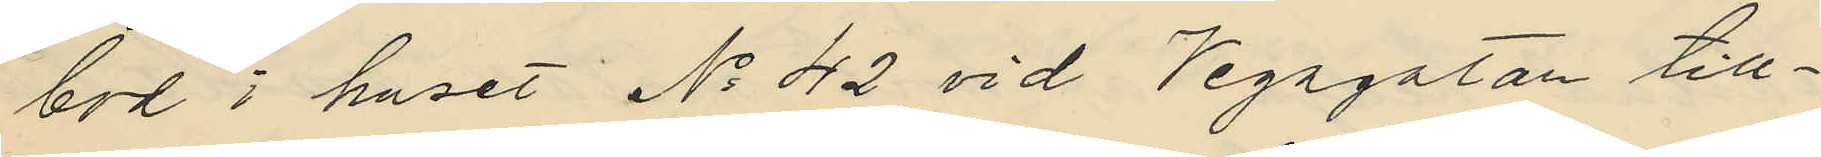bod i huset No 42 vid Vegagatan till¬
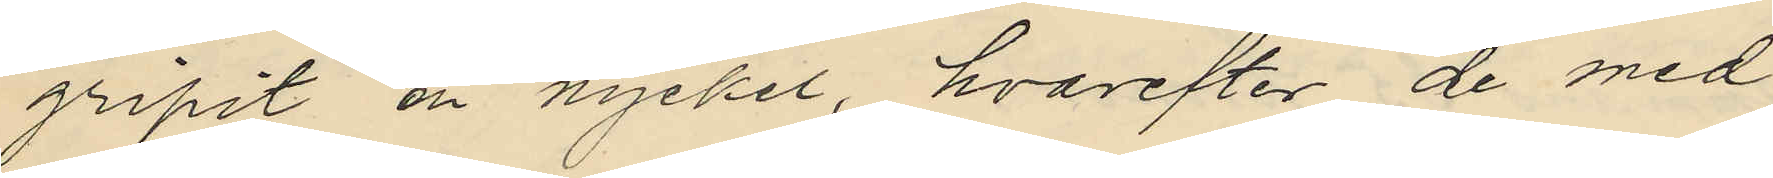gripit en nyckel, hvarefter de med
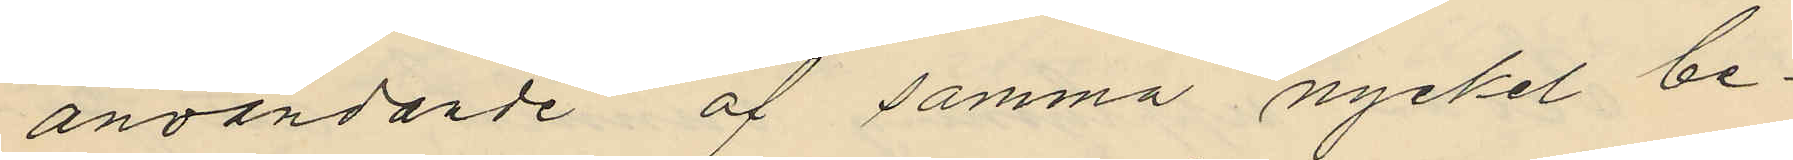användande af samma nyckel be¬
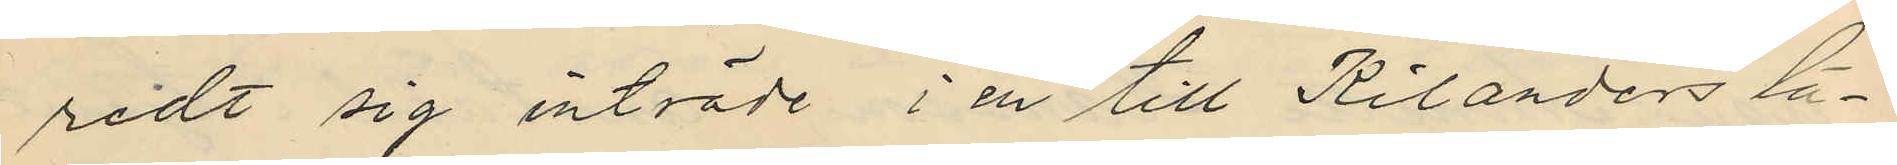redt sig inträde i en till Kilanders lä¬
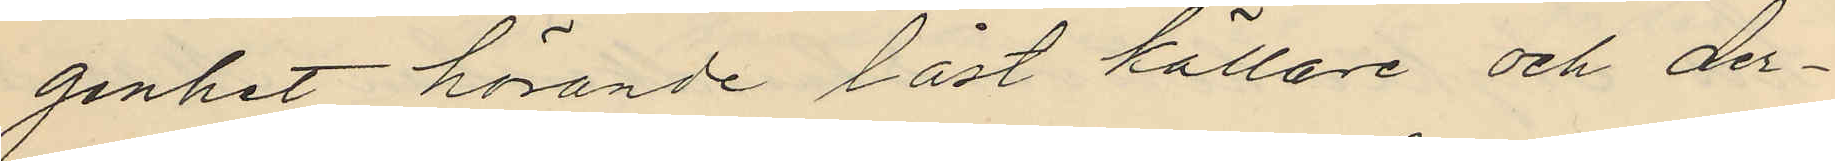genhet hörande låst källare och der¬
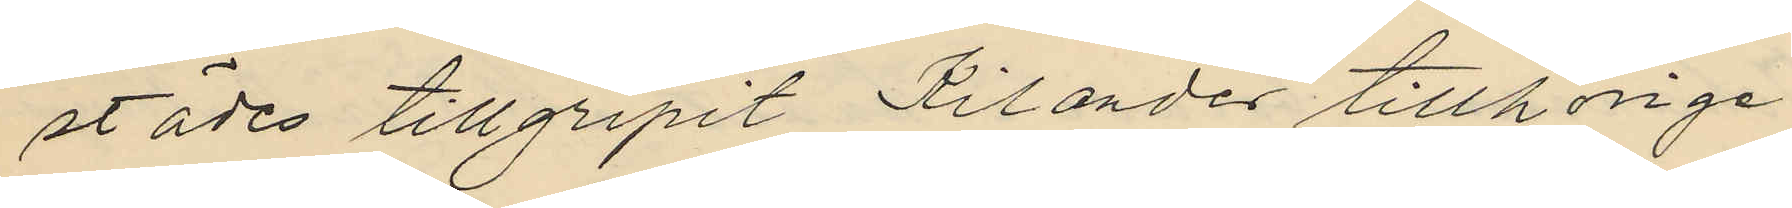städes tillgripit Kilander tillhörige
